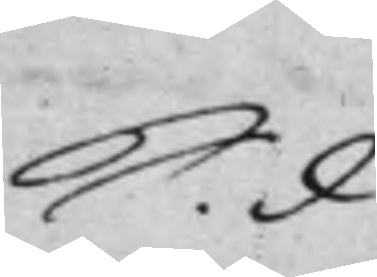S. d.
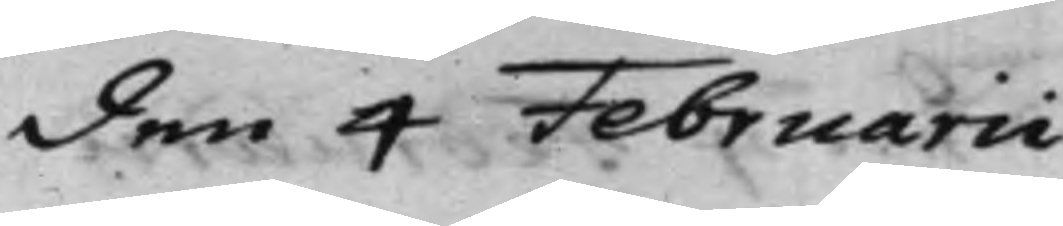den 4 Februarii
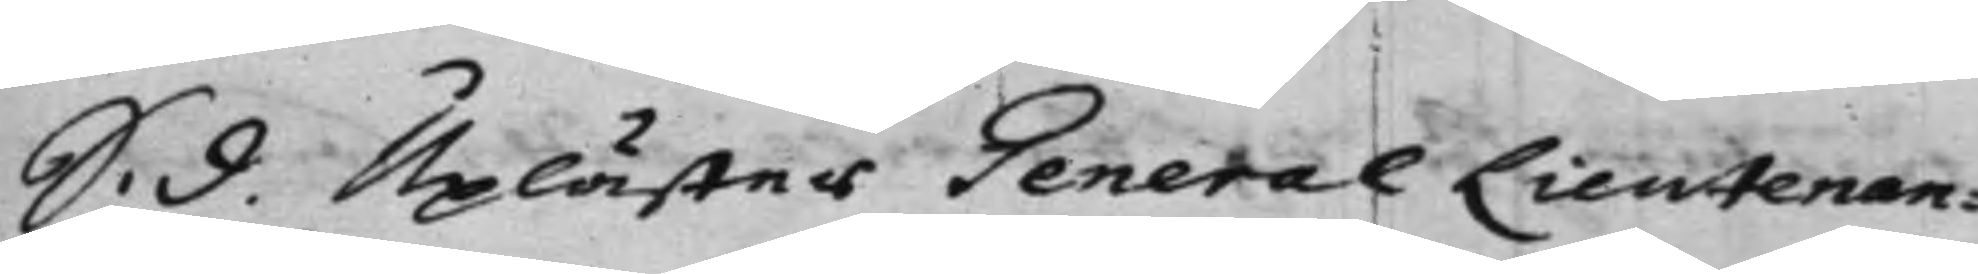S. d. Uplästes General Liutenan¬
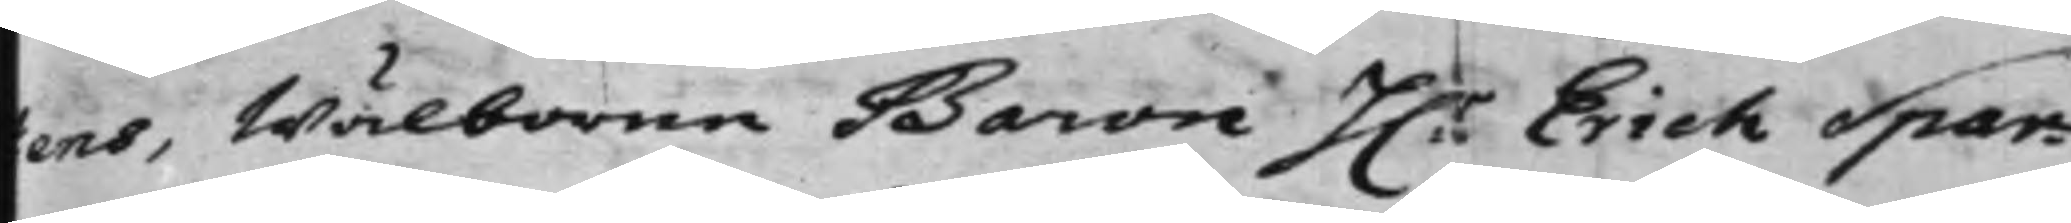ens, Wälborne Baron H.r Erich Spar¬
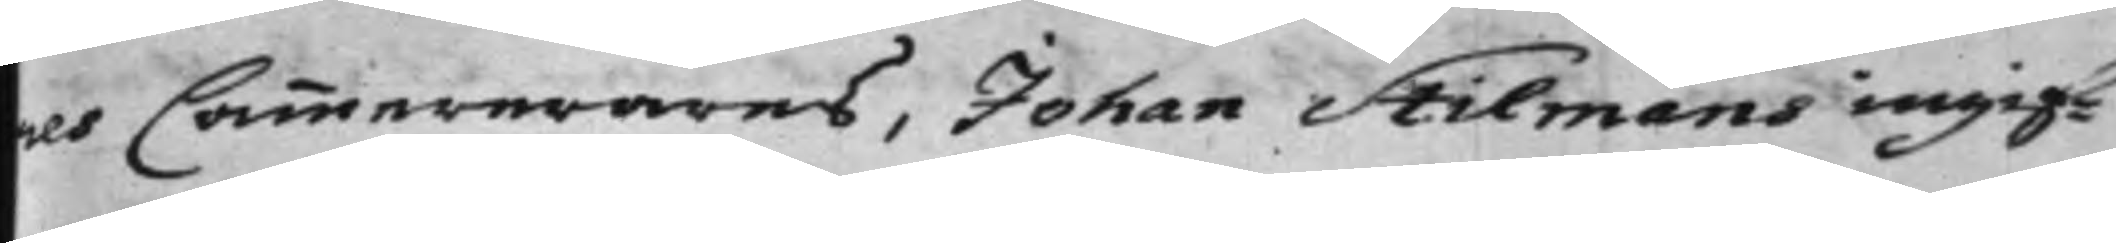res Cammererares, Johan Stilmans ingif¬
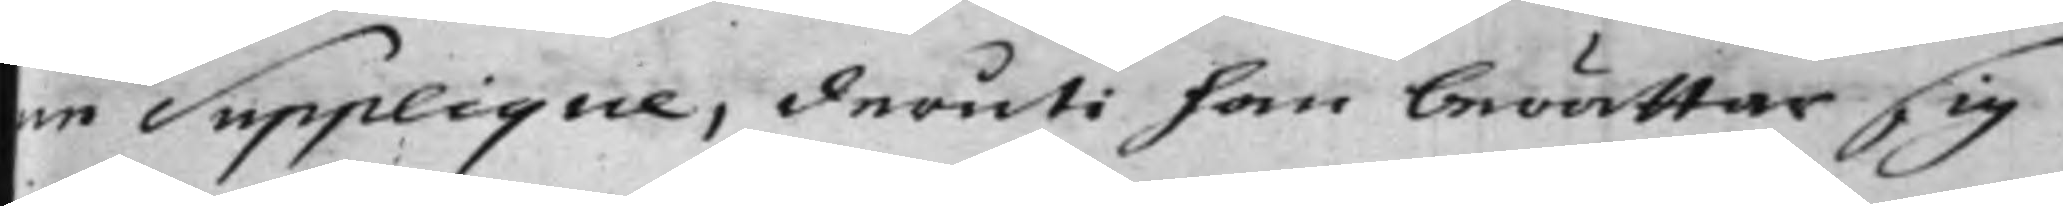ne Supplique, deruti han berättar sig
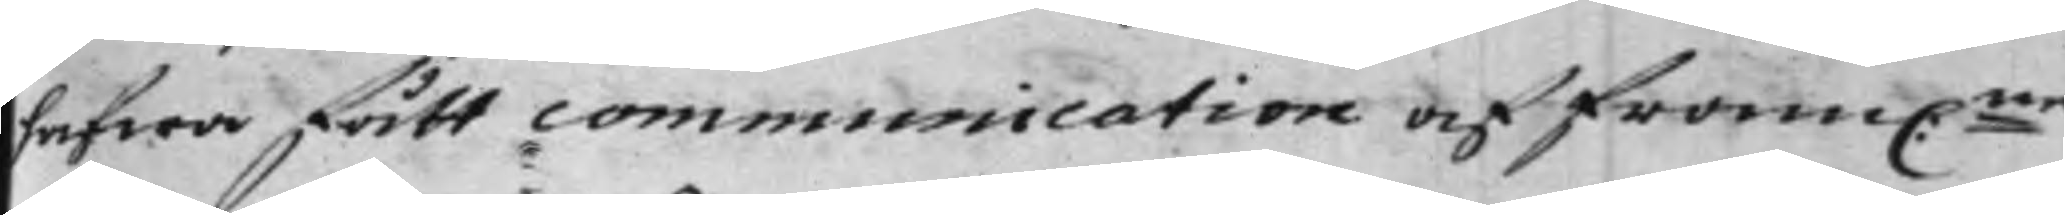hafwa fått communication af fram:ne
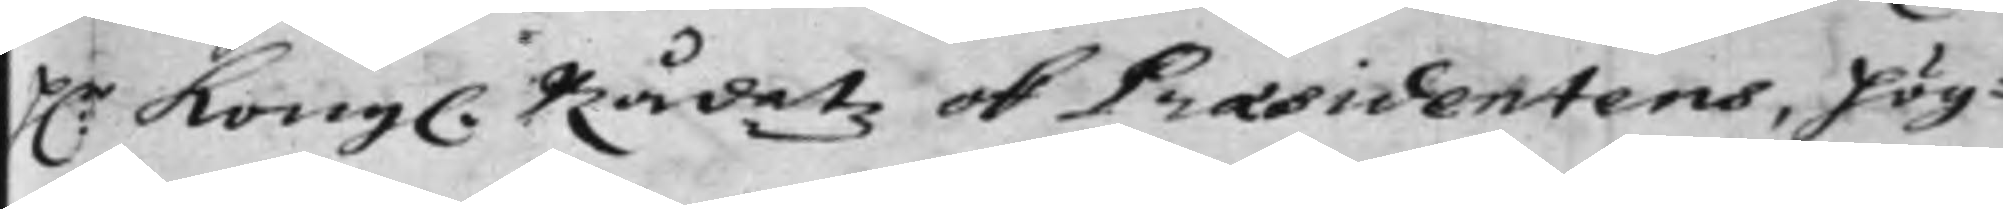H:r Kongl. Rådetz ok Praesidentens, Hög¬
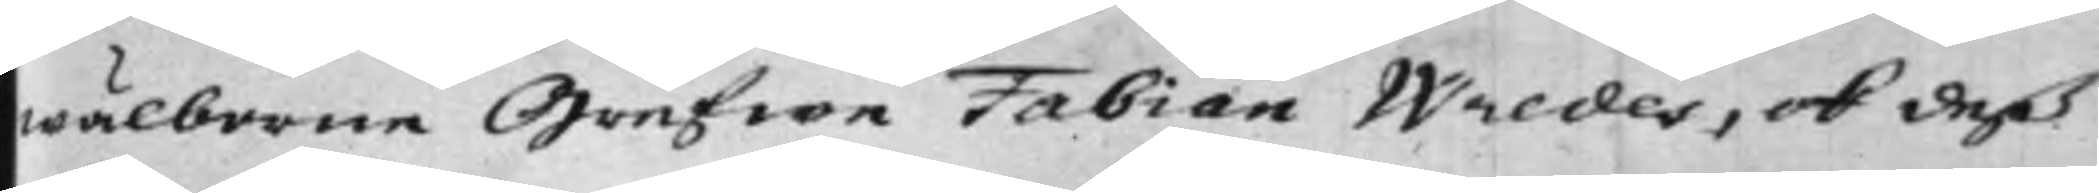wälborne Grefwe Fabian Wredes, ok deß
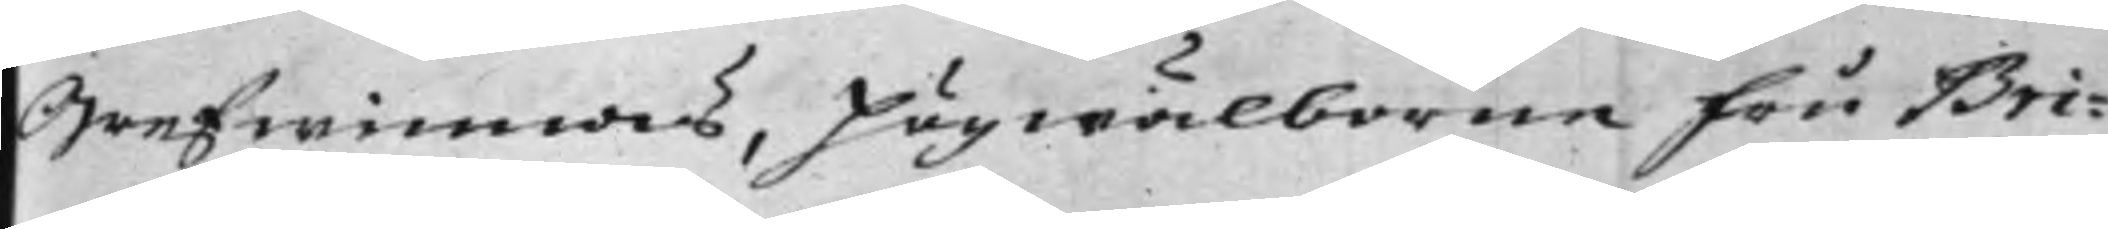Grefwinnas, Högwälborne Fru Bri¬
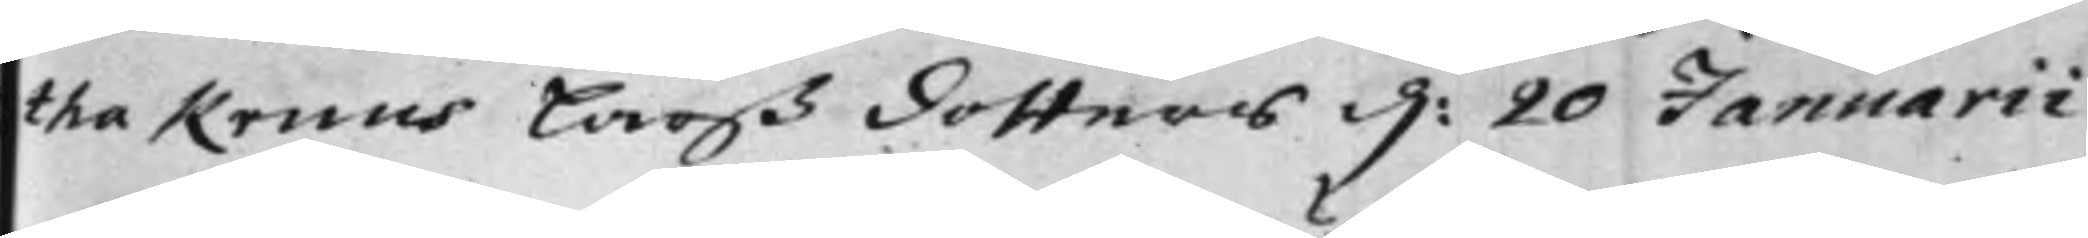tha Kruus Larß dotters d: 20 Januarii
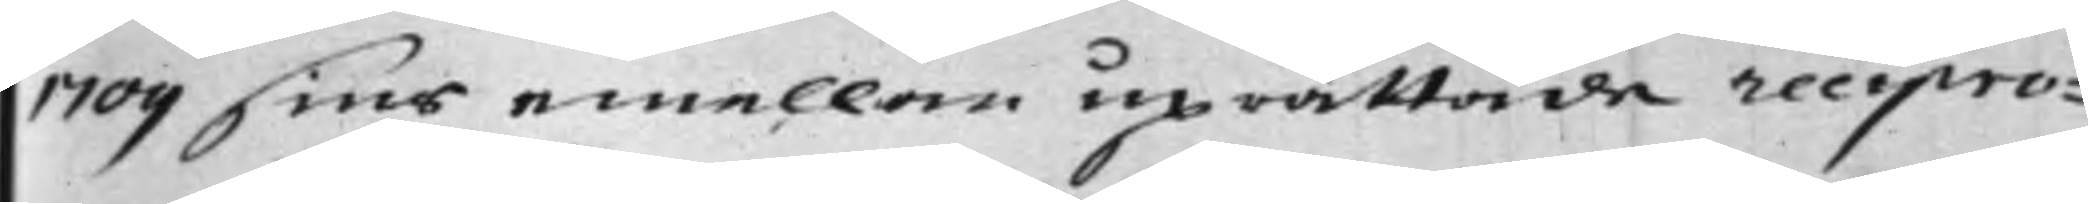1709 sins emellan uprättade recipro¬
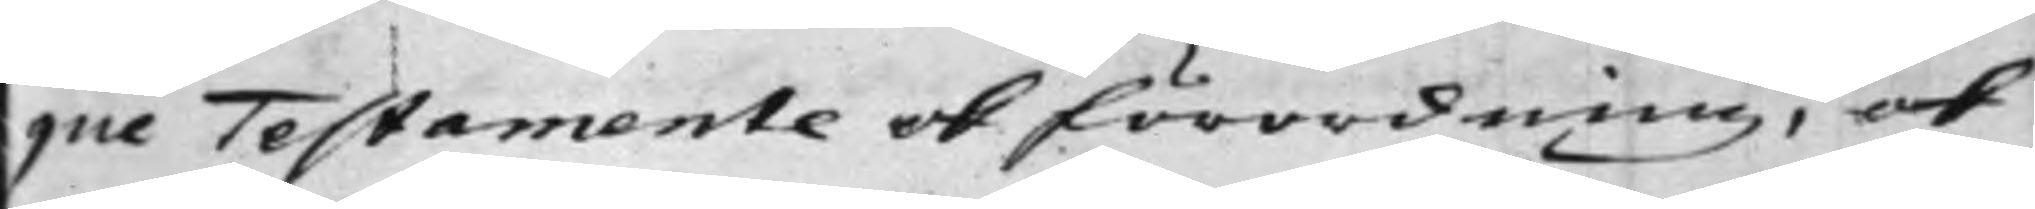que Testamente ok Förordning, ok
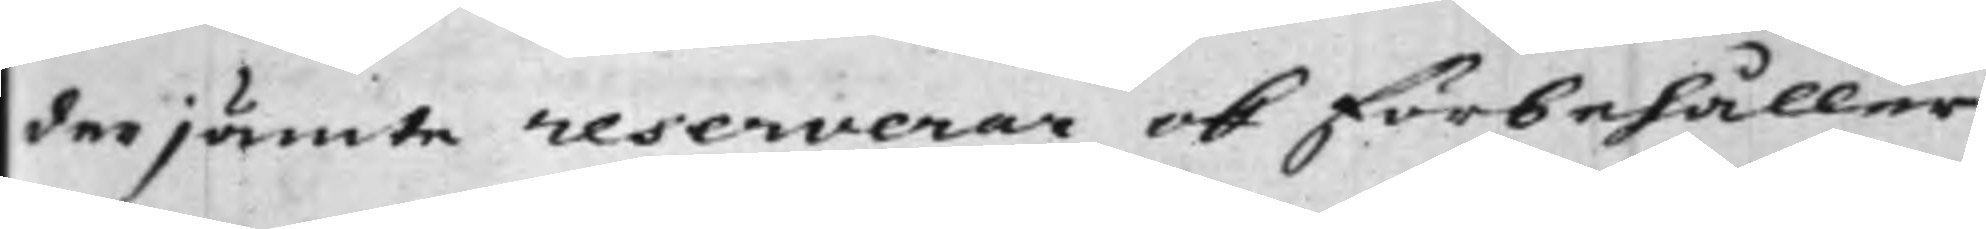derjämte reserverar ok förbehåller
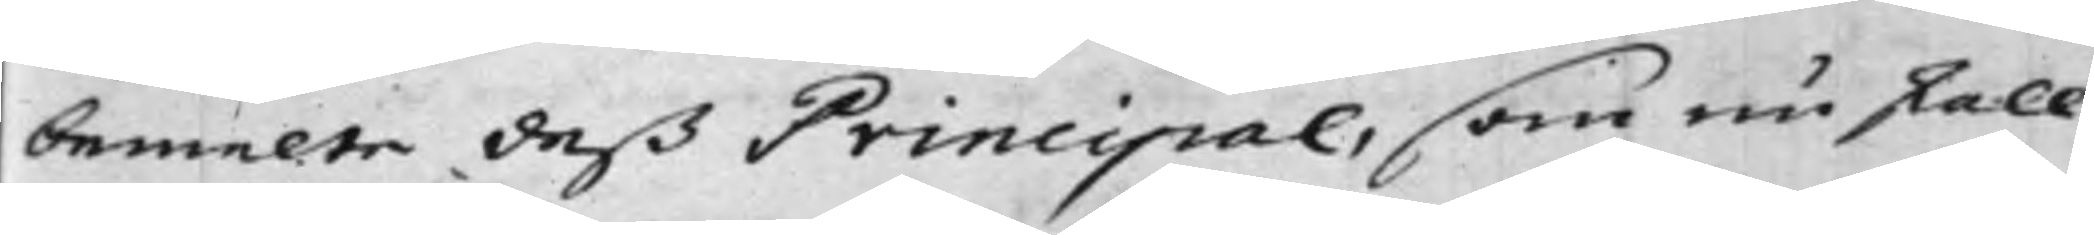bemelte deß Principal, som nu skall
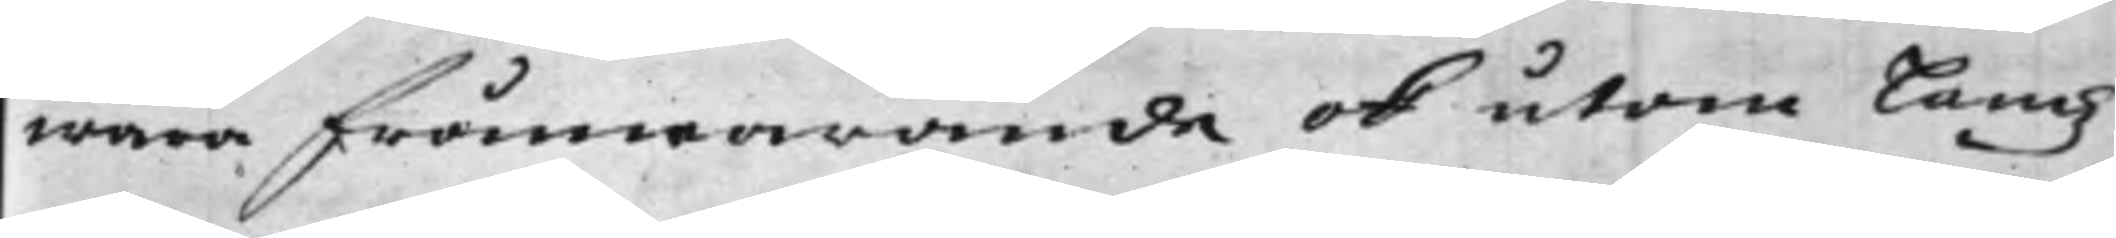wara frånwarande ok utom Landz
